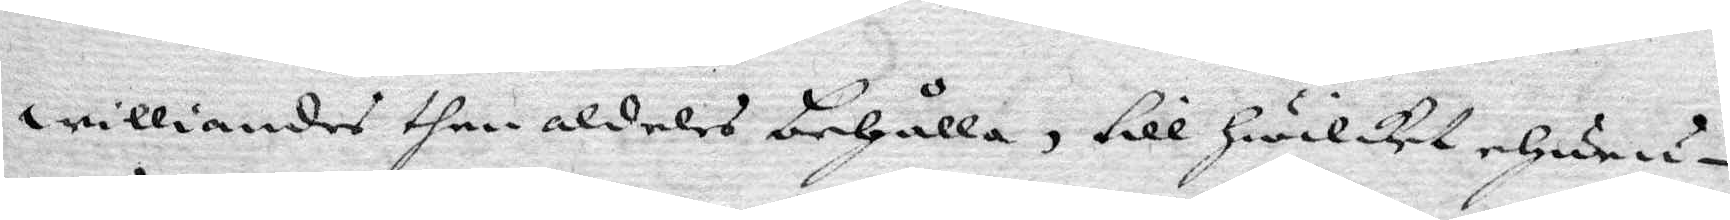williandes then aldeles behålla, till Hwilket ehuru¬
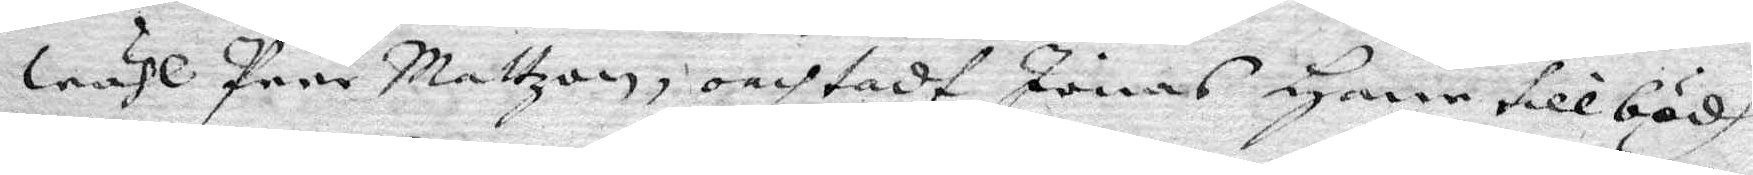wähl Peer Mattzon, oachtadt Jonas Hane tillbödh
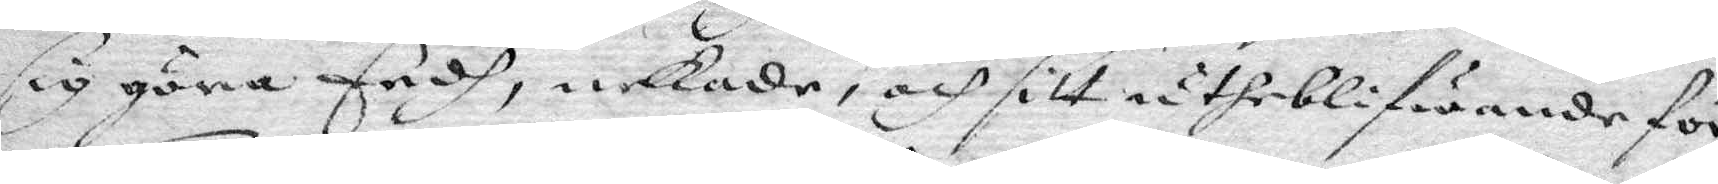sig göra Eedh, nekade, och sitt utheblifwande för
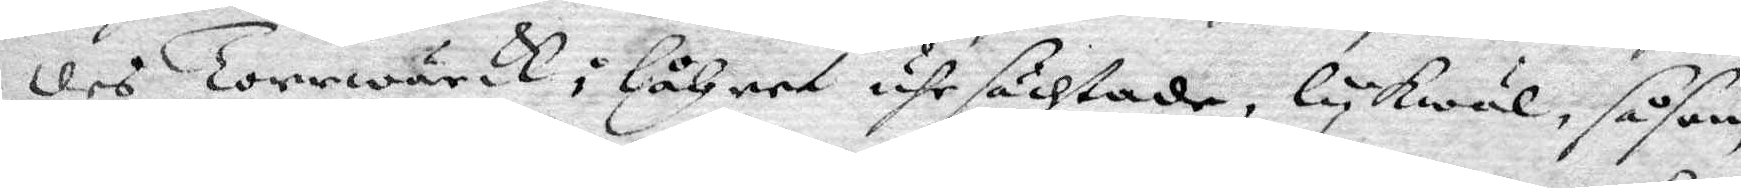des Torrwärck i låhret uhrsächtade, lykwäl såsom
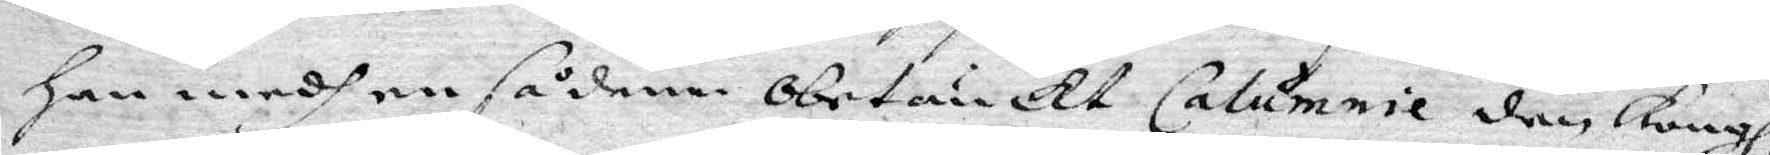Han medh en sådann obstrukt Calumnie den Kongl.
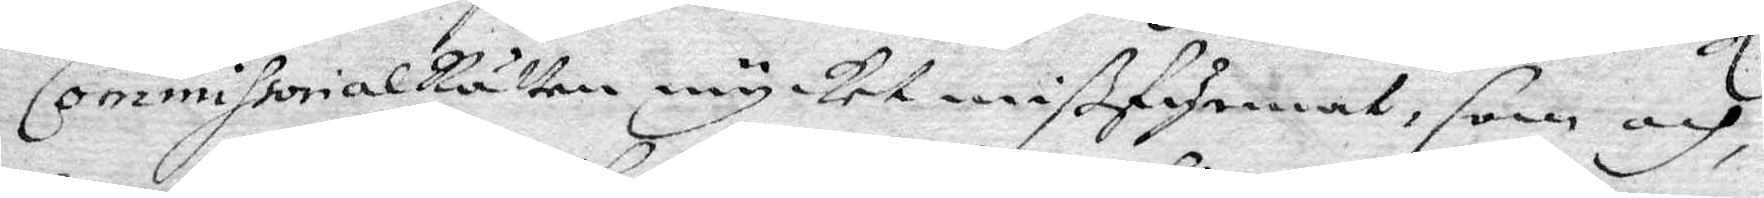CommissorialRätten mycket mißfyrmat, som och
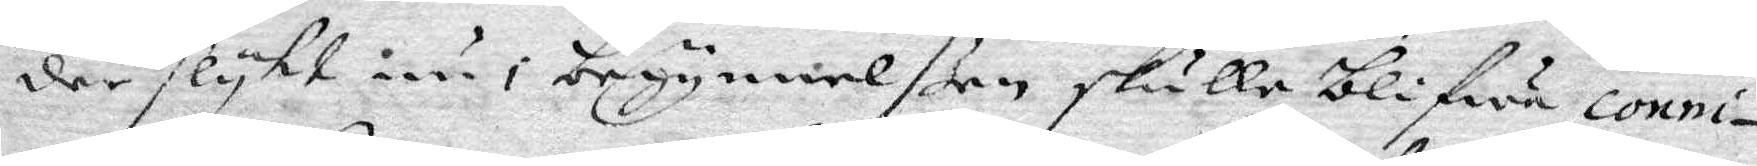der flyht inu i begynnelßen skulle blifwa conni¬
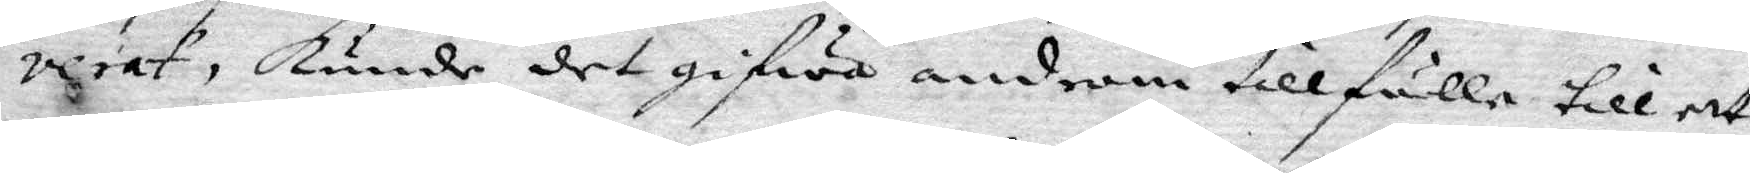verat, kunde det gifwa androm tillfälle till ett
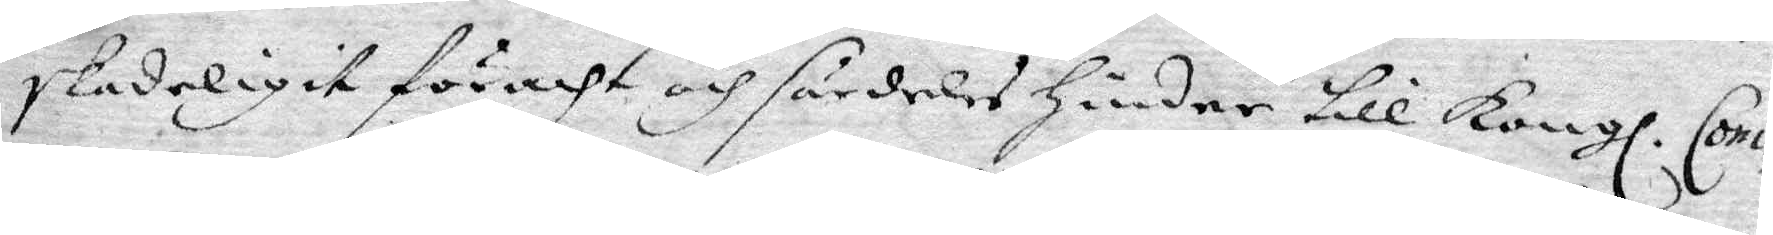skadeligit föracht och särdeles Hinder till Kongl. Com¬
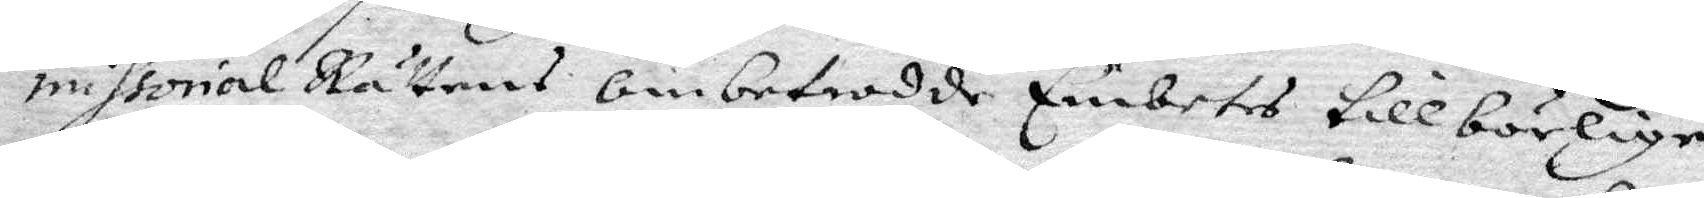missorial Rättens ombetrodde Embetes tillbörlige
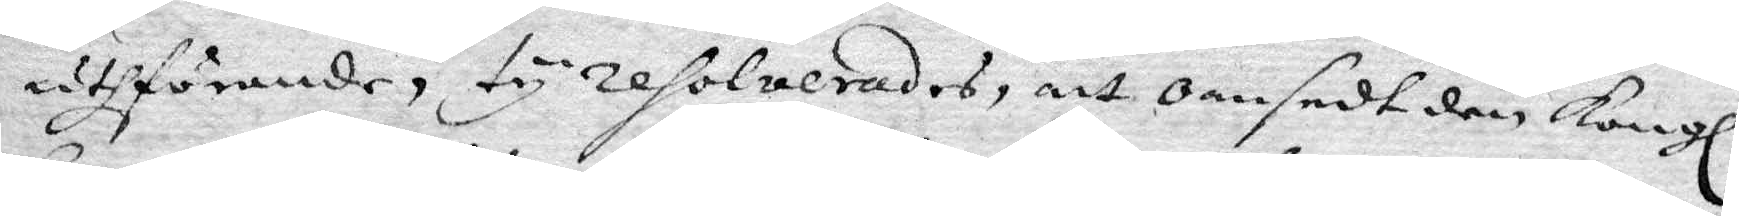uthförande, ty resolverades, att oansedt den Kongl.
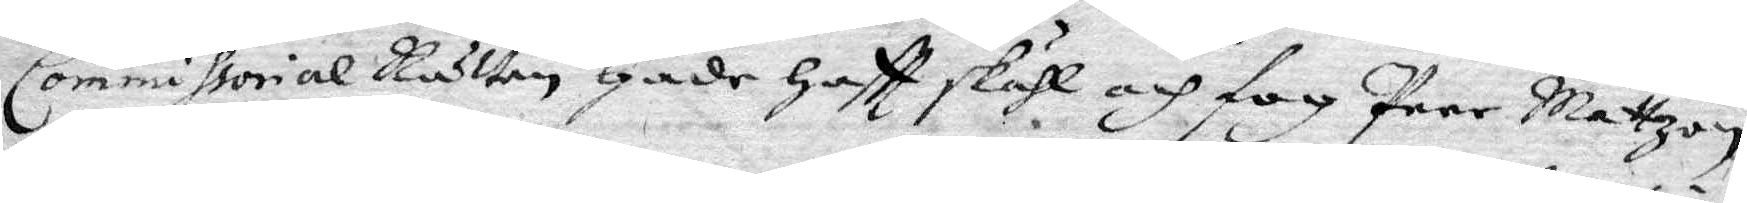Commissorial Rätten Hade Haftt skähl och fog Peer Mattzon
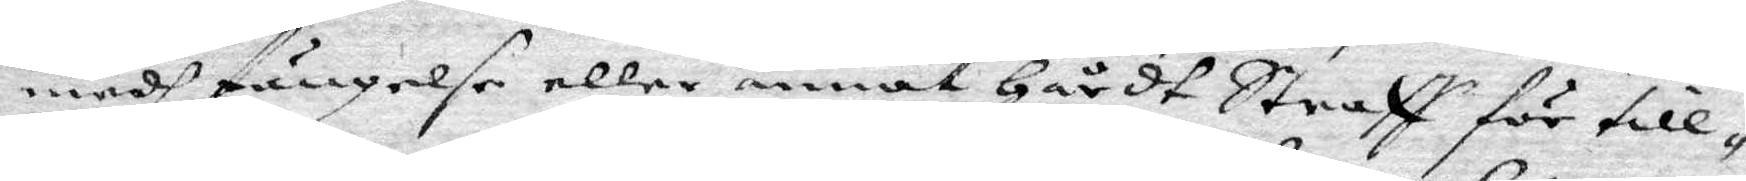medh fängelse eller annat Hårdt Straff för till¬
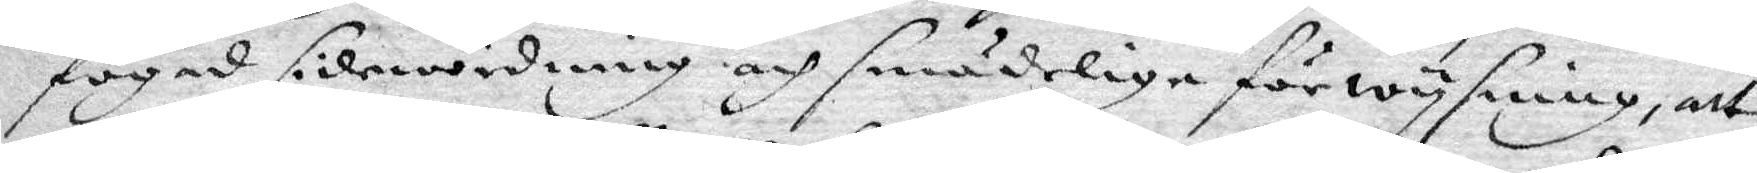fogad disewördning och smädelige förwysning, att
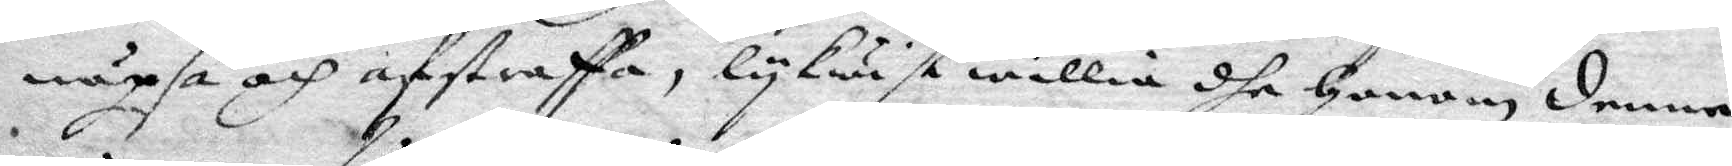näpsa och afstraffa, lykwist willia dhe Honom denne
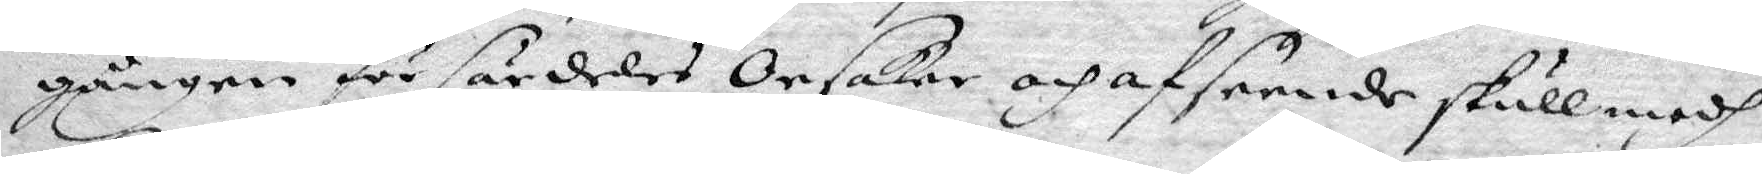gången för särdeles Orsaker och afseende skull medh
